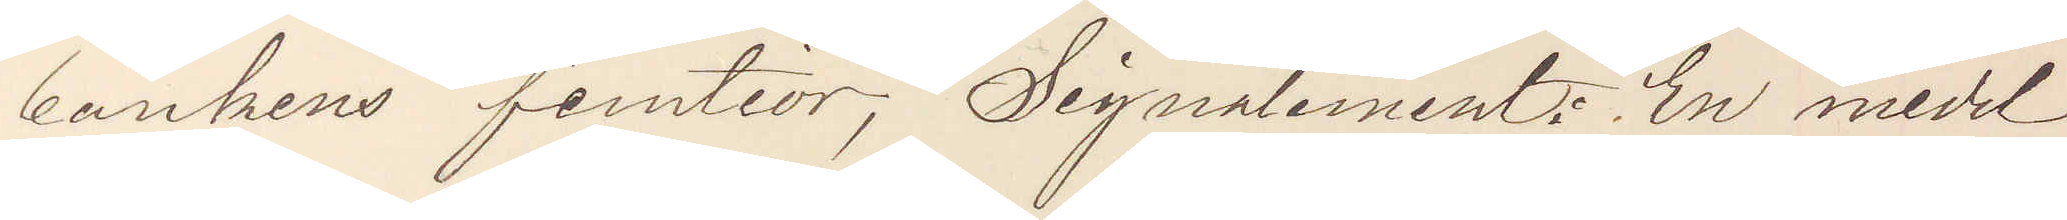bankens femtior, Signalement: En medel¬
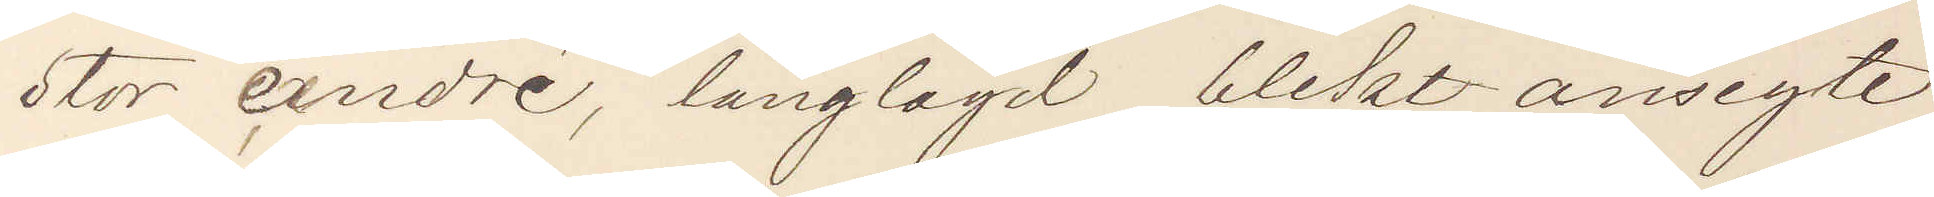stor cendré, långlagd blekt ansigte
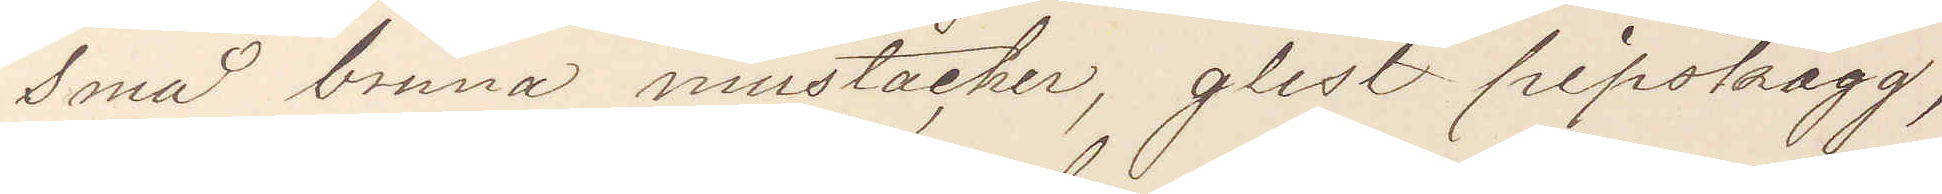små bruna mustacher, glest pipskägg,
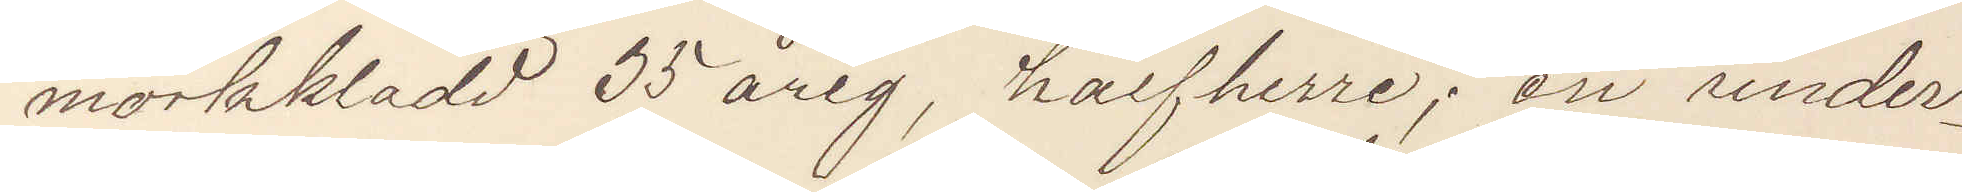mörkklädd 55 årig, halfherre; en under¬
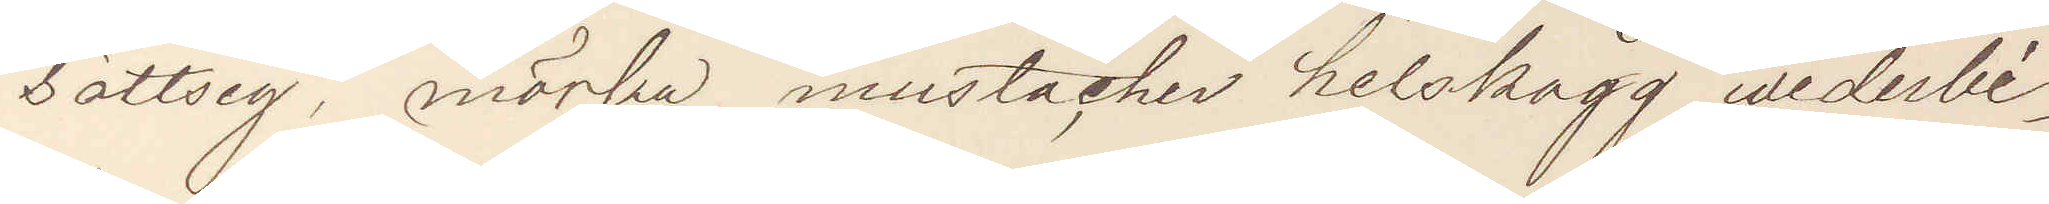sättsig, mörka mustacher helskägg wederbi¬
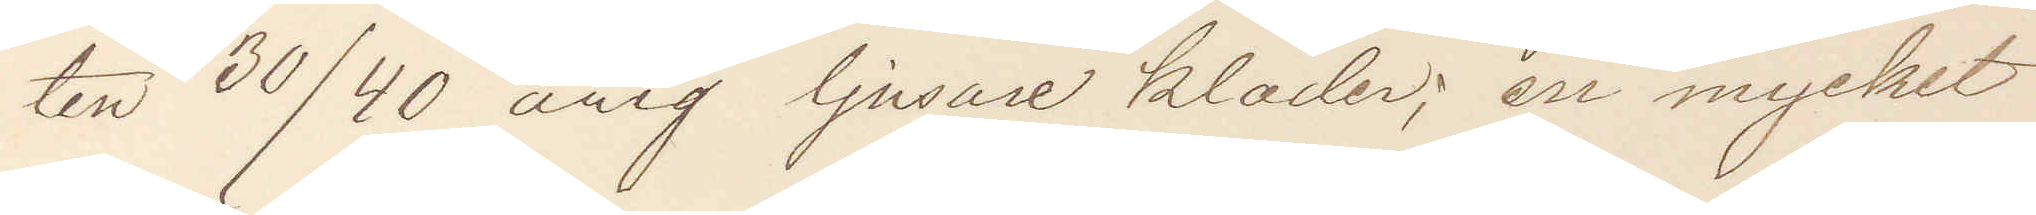ten 30/40 årig ljusare kläder; en mycket
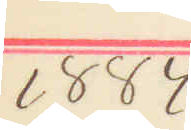1884
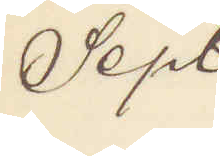Sept.
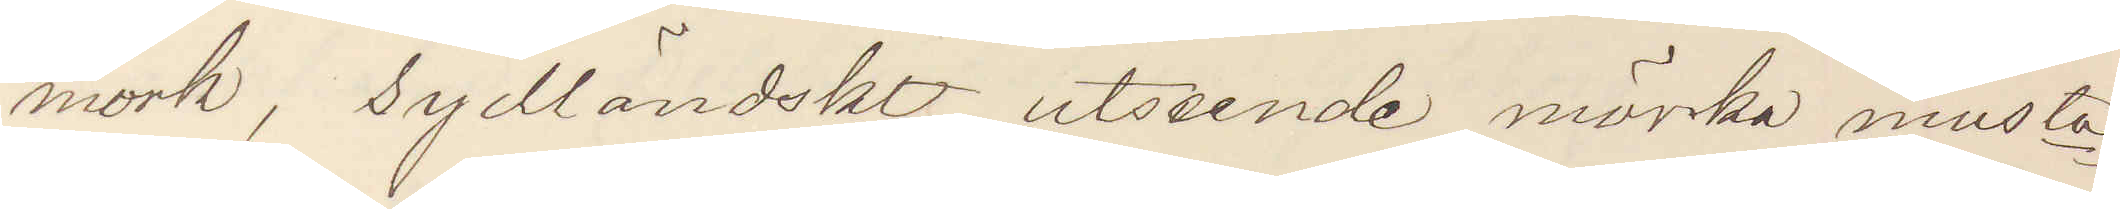mörk, sydländskt utseende mörka musta¬
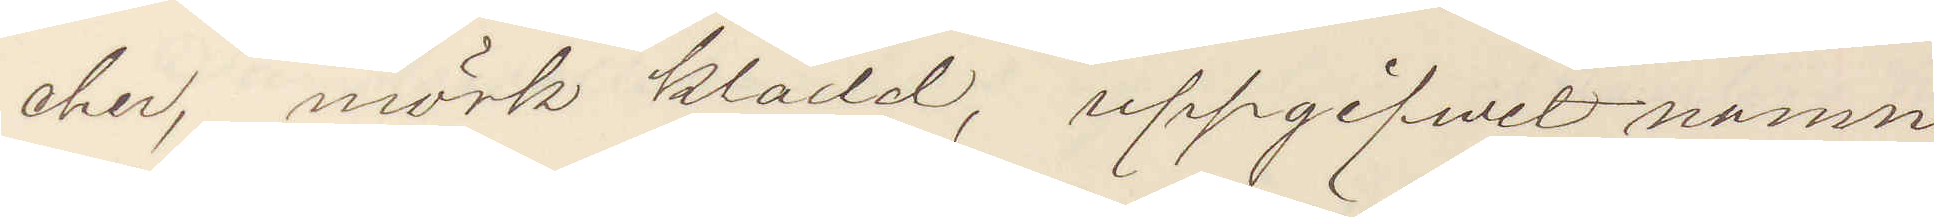cher, mörk klädsel, uppgifvet namn
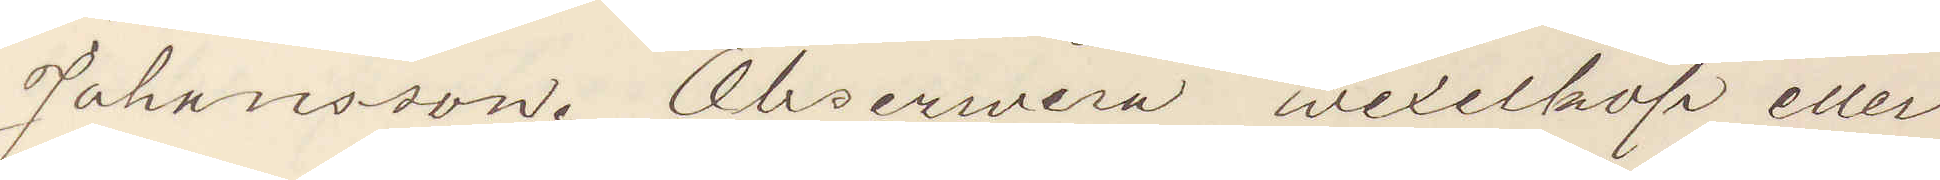Johansson. Obserwera wexelköp eller
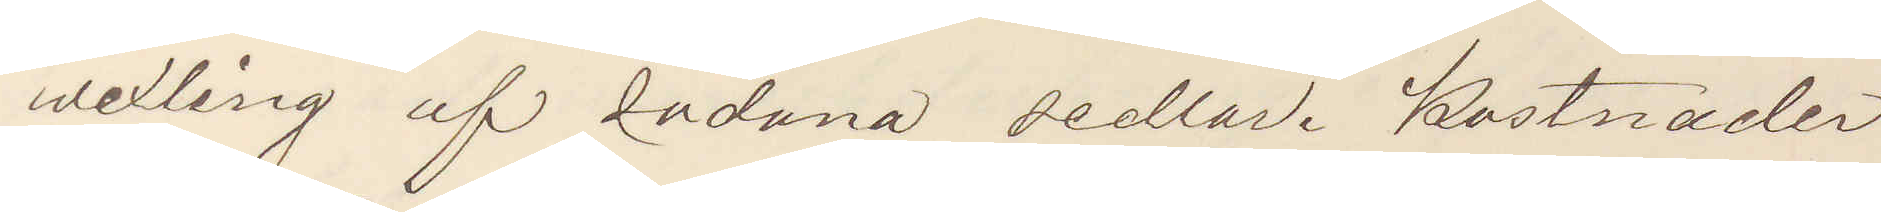wexling af sådana sedlar. Kostnader
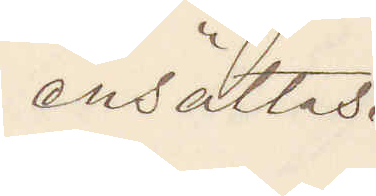ersättas.
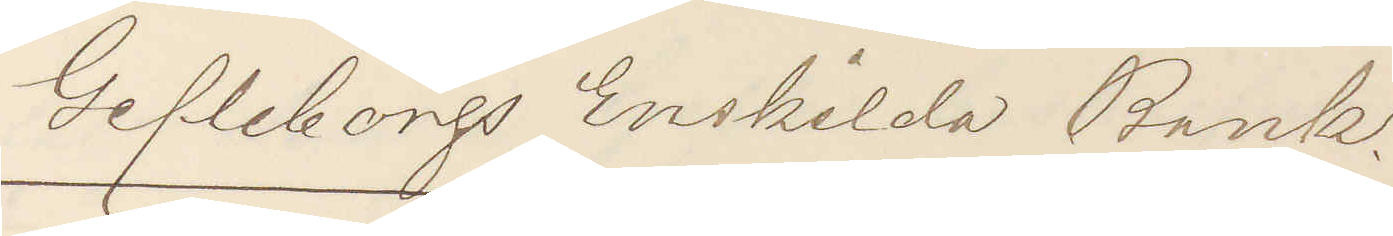Gefleborgs Enskilda Bank.
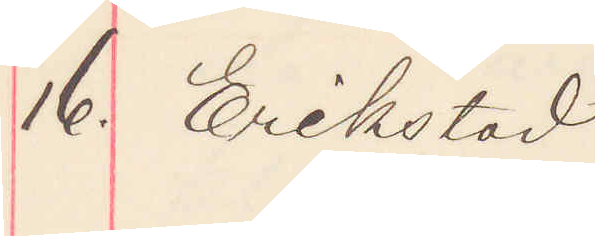16. Erikstad
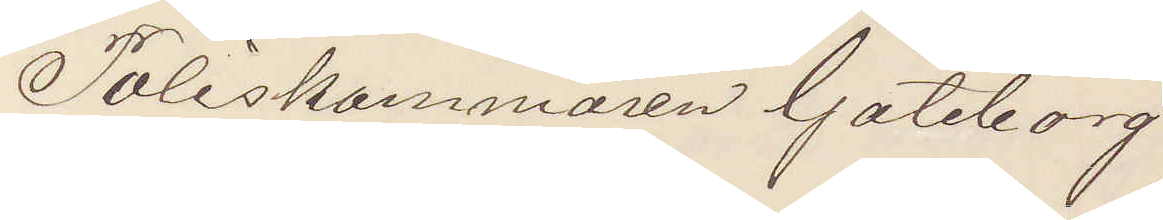Poliskammaren Göteborg.
